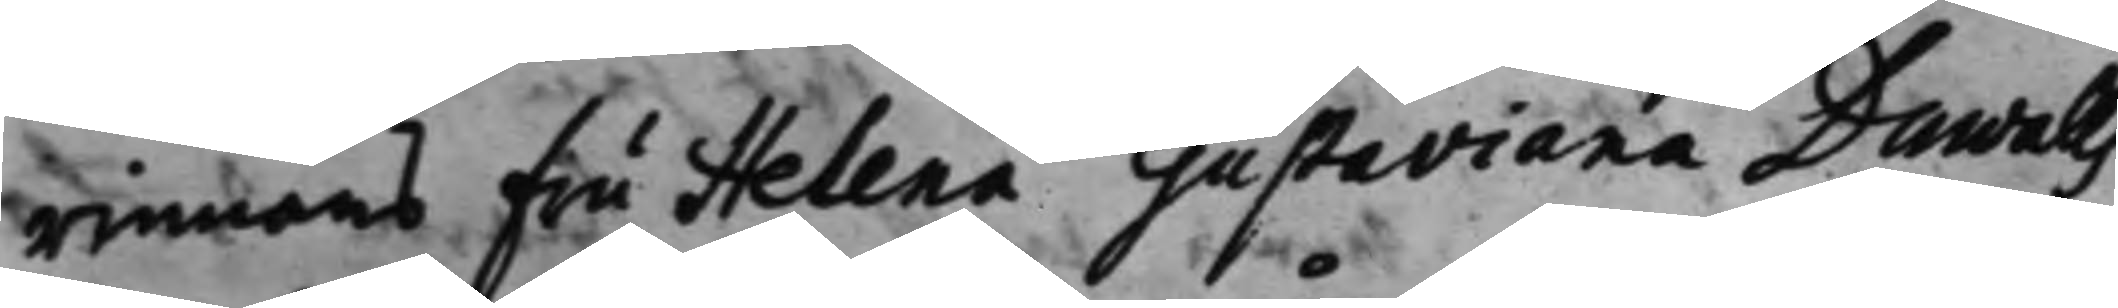rinnans Fru Helena Gustaviana Duwalls
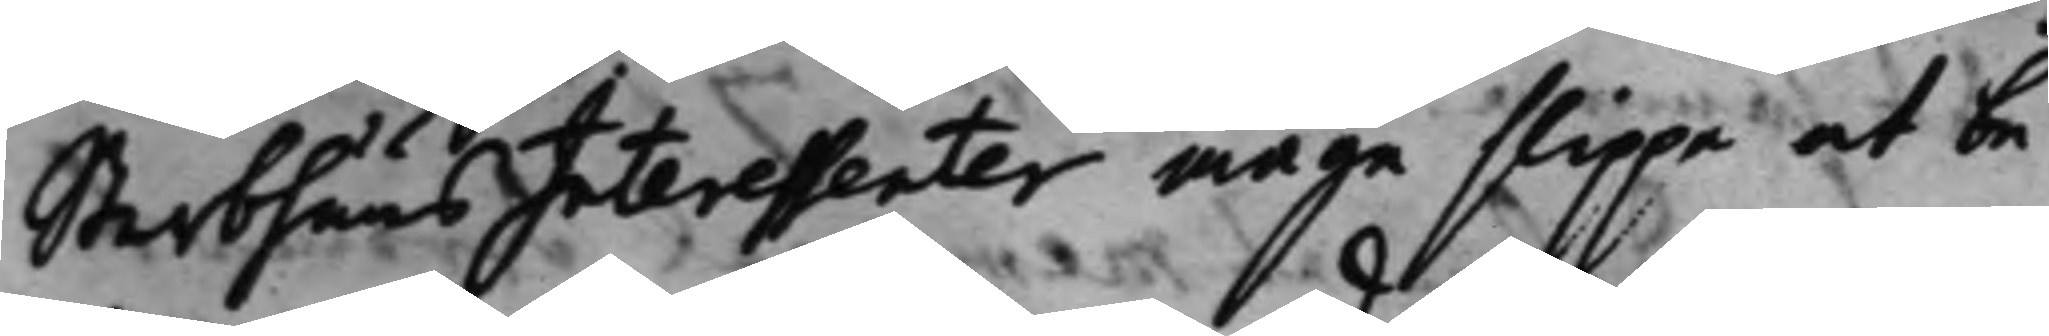SterbhuusInteressenter måge slippe at be¬
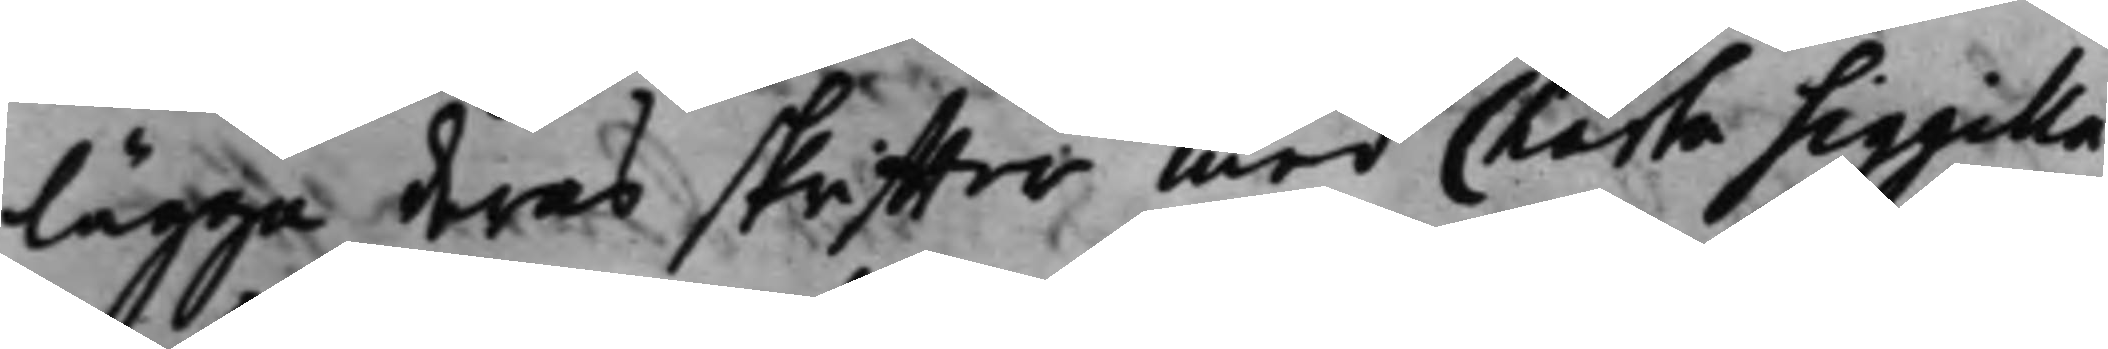lägga deras skriffter med Charta Sigilla¬
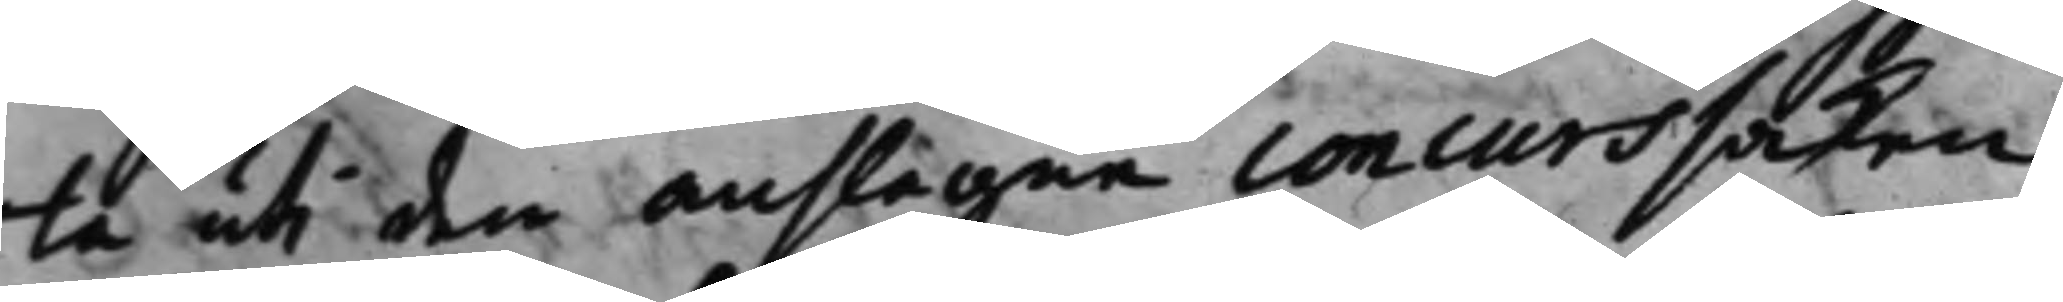ta uti den anslagne concurssaken
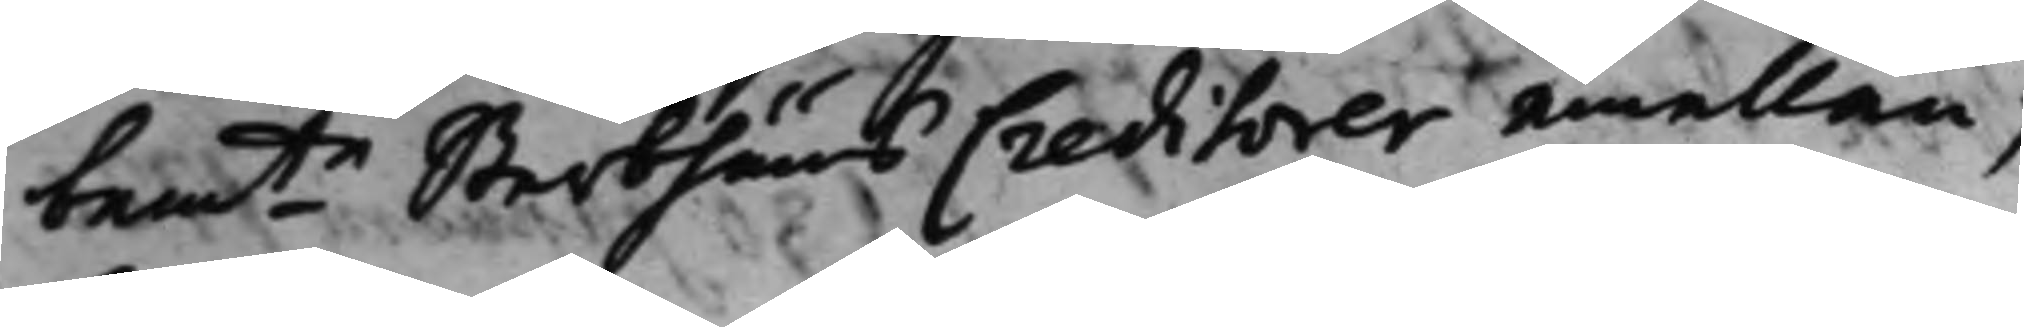bemte Sterbhuus Creditorer emellan; 
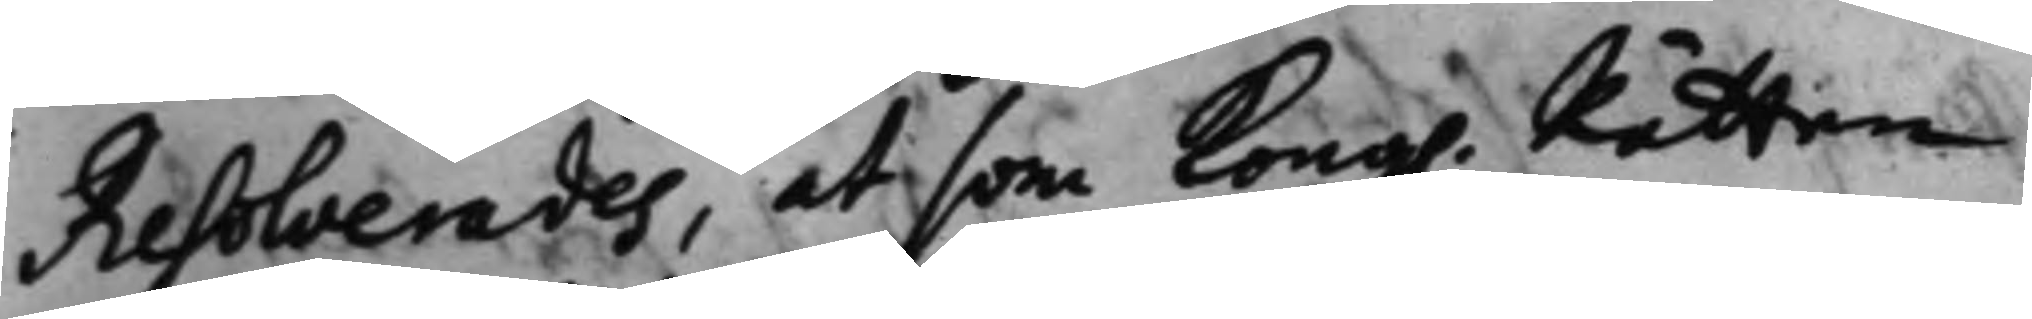Resolverades, at som Kong. Rätten 
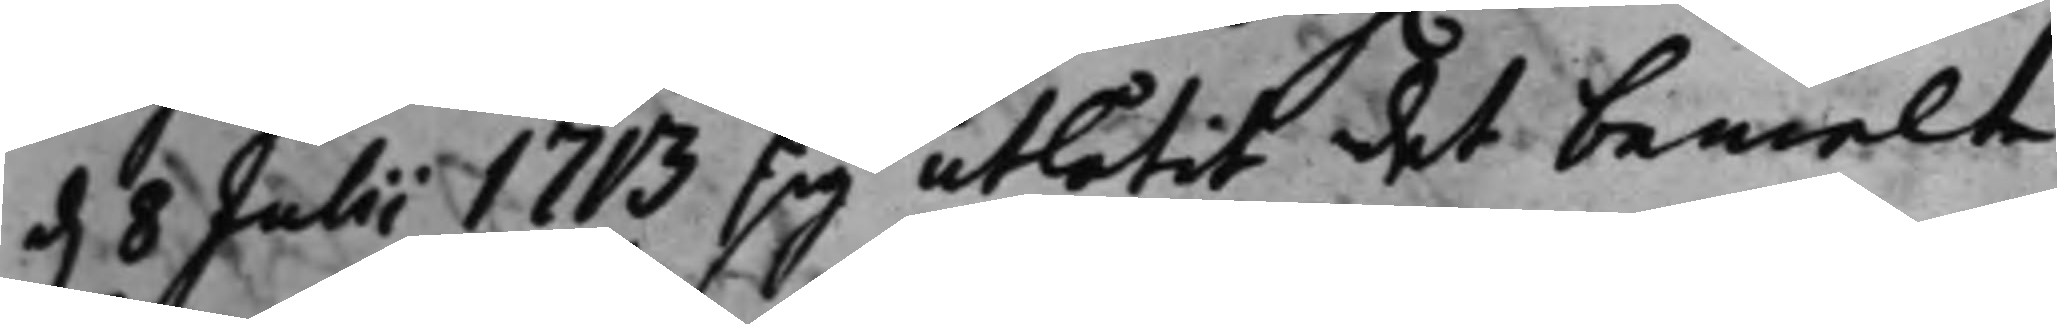d. 8 Julii 1713 sig utlåtit det bemelte 
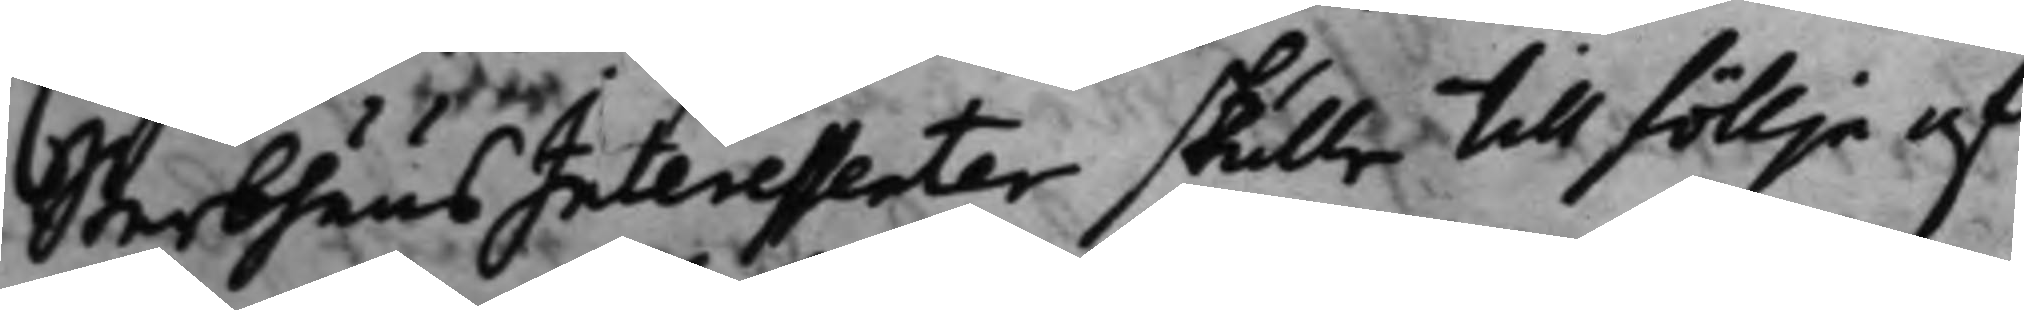SterbhuusInteressenter skulle till föllje af
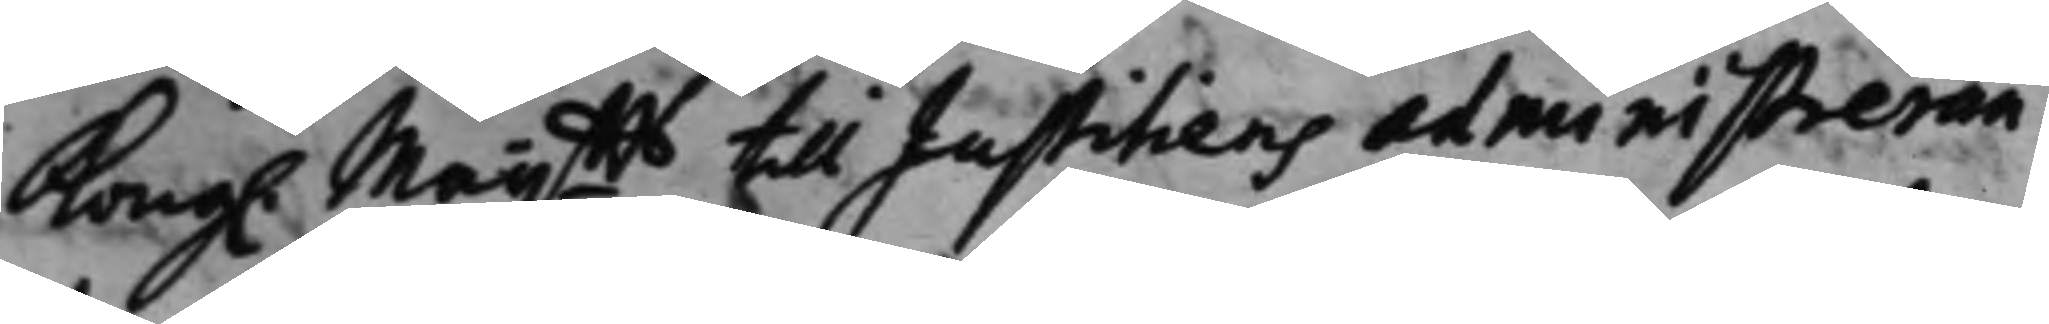Kong. Maijtts till Justitiens administreran¬ 
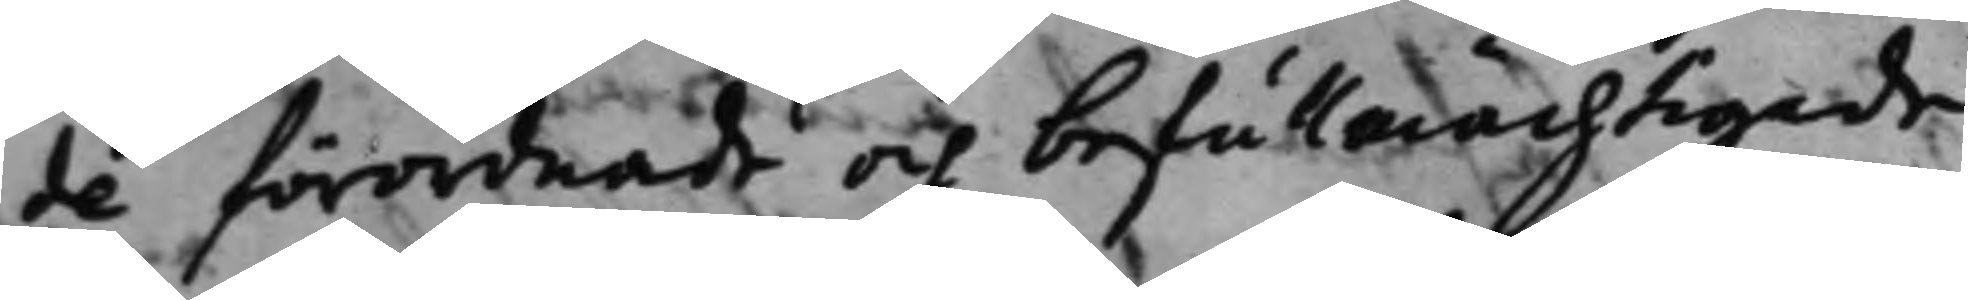de förordnade och befullmächtigade
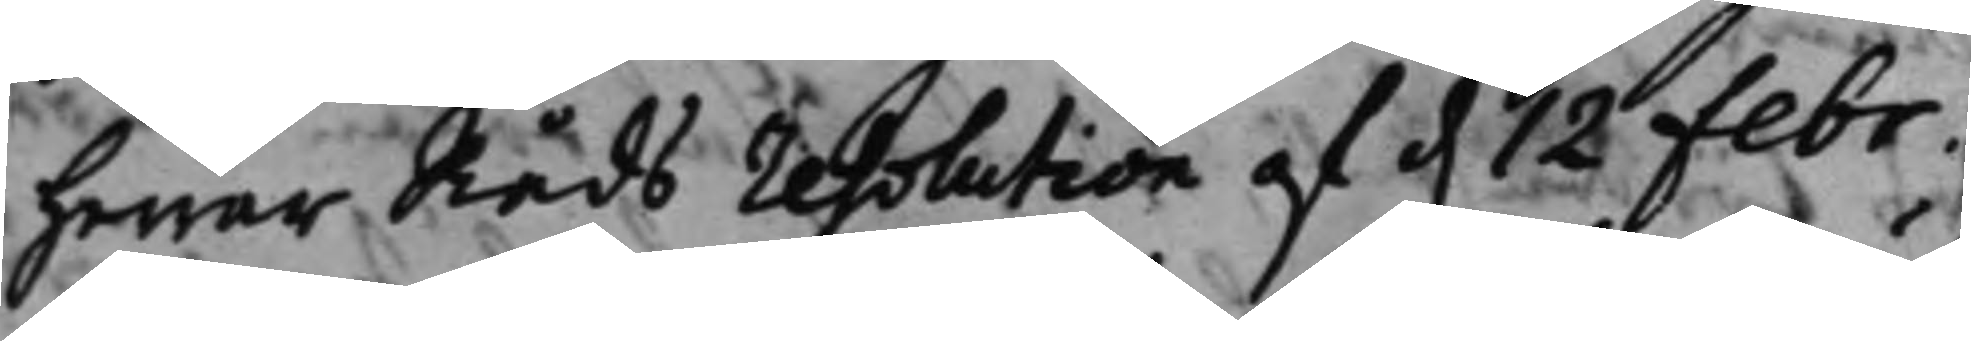Herrar Råds resolution af d. 12 Febr. 
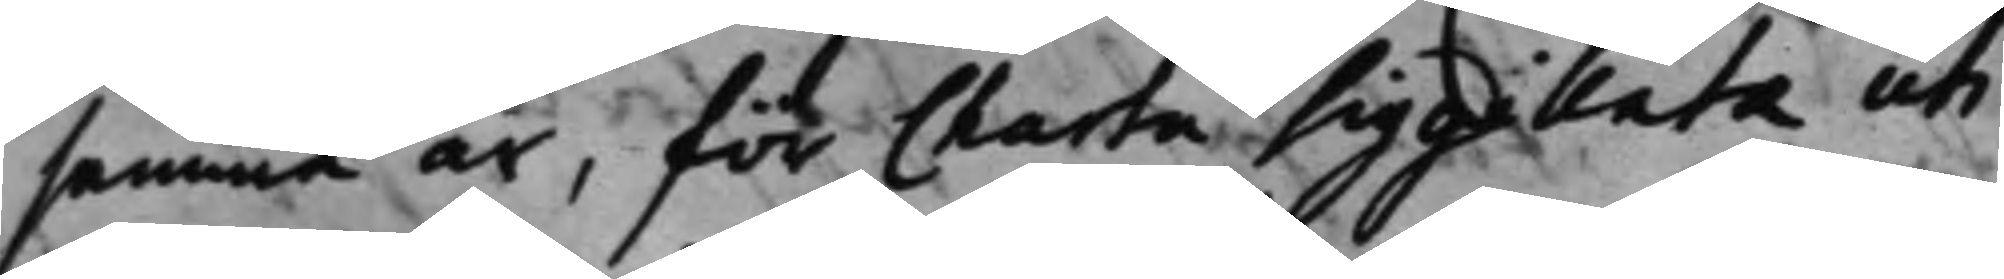samma år, för Charta Sigillata uti
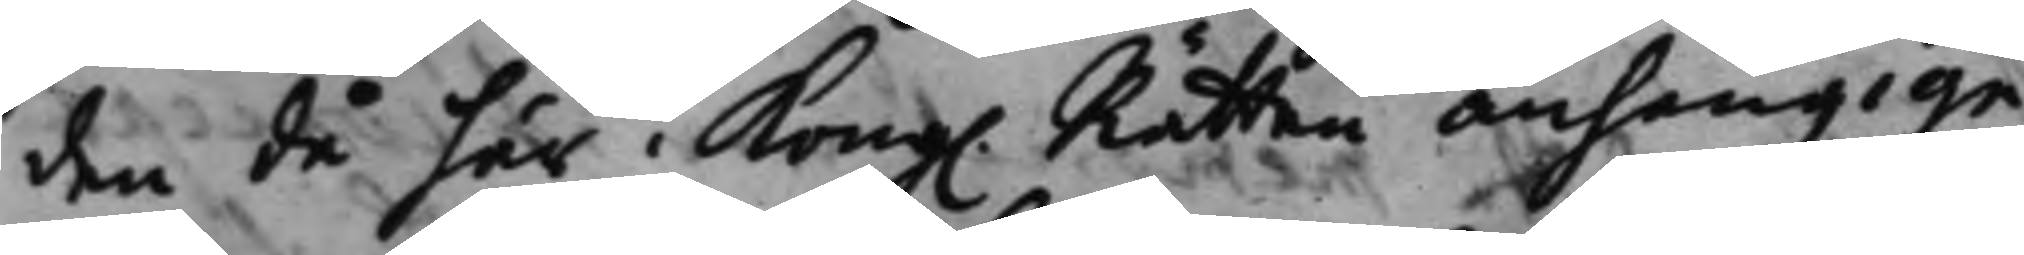den då här i Kong. Rätten anhängige 
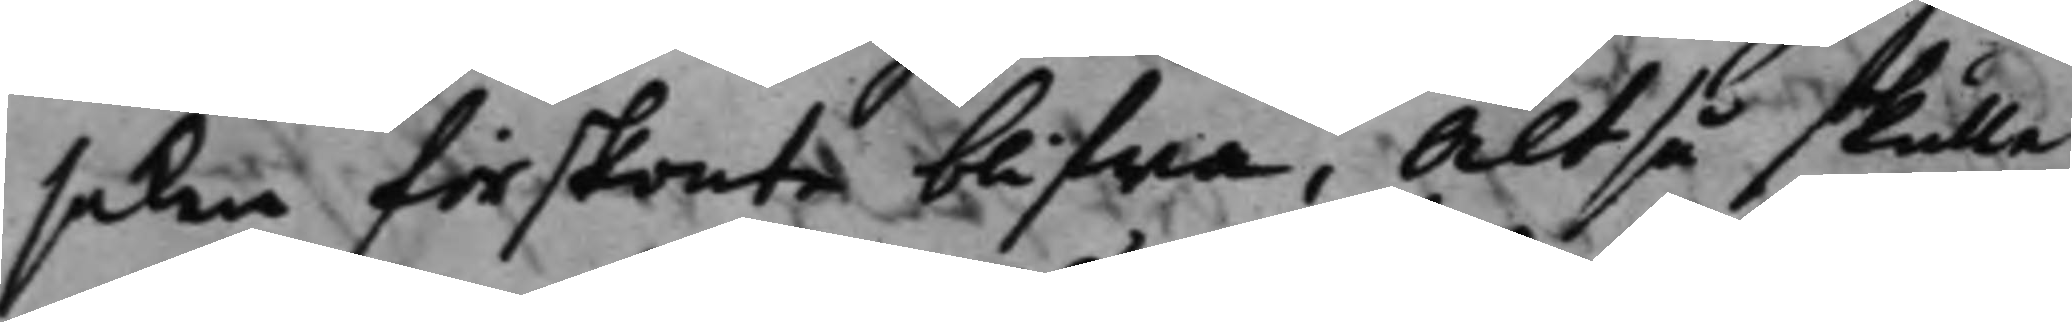saken förskonte blifwa, Altså skulle
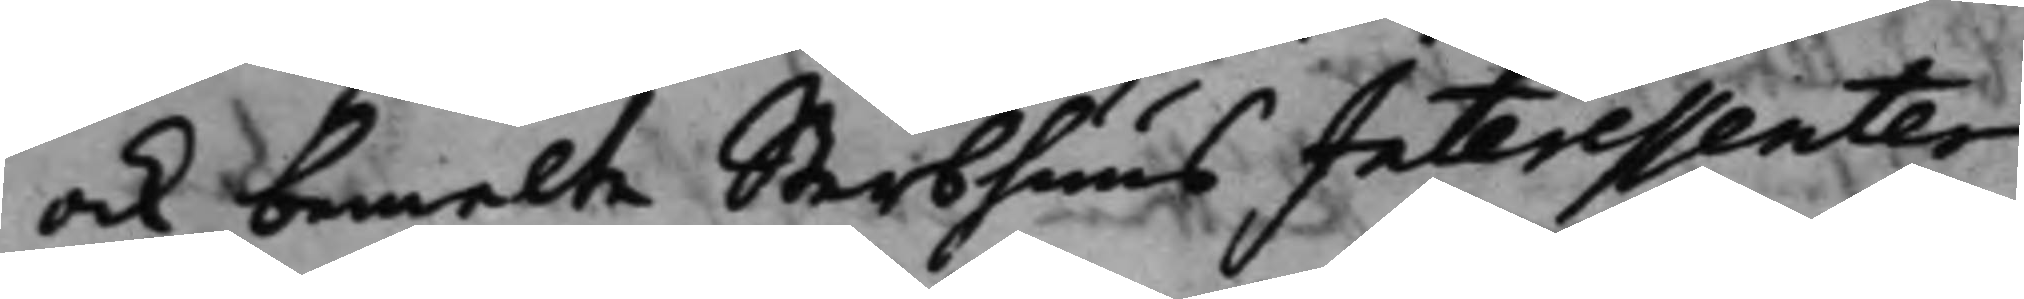ock bemelte SterbhuusInteressenter
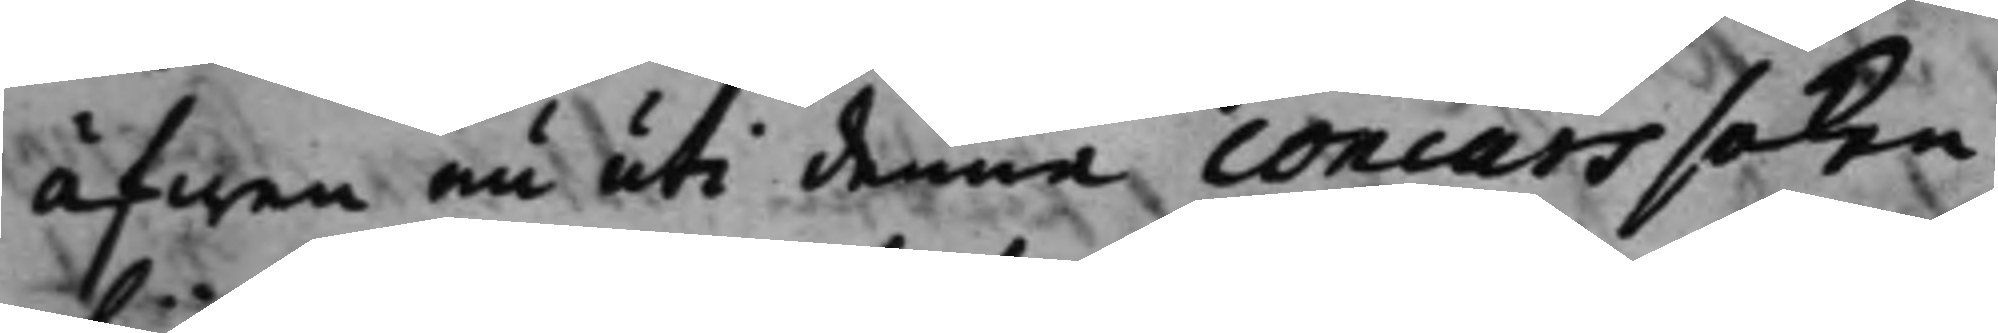äfwen nu uti denna concurssaken
